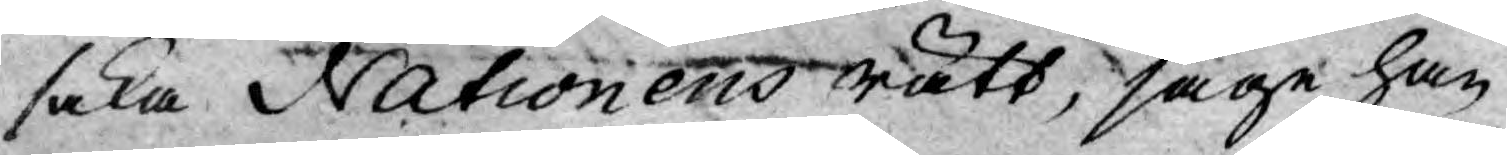saka Nationens rätt, såge han
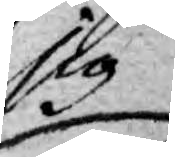sig
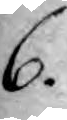6.
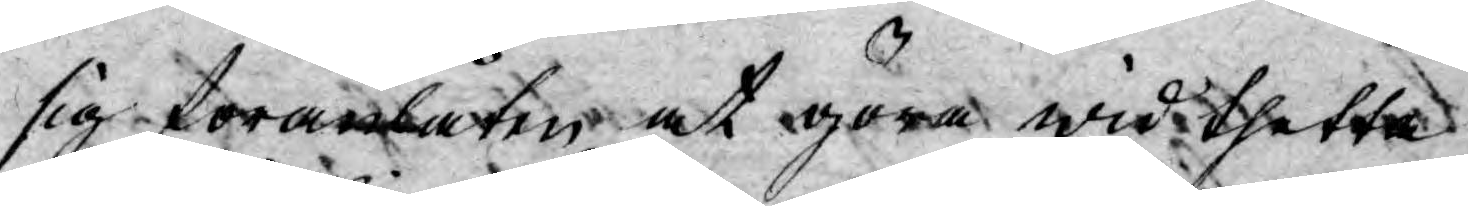sig föranlåten at göra wid thetta
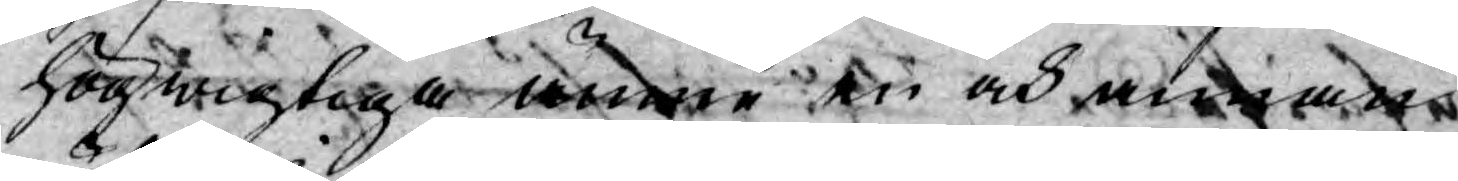högwigtiga ämne en och annan
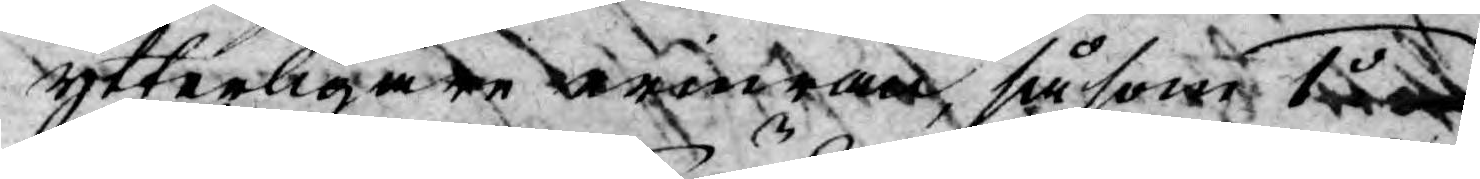ytterligare erinran, såsom 1o
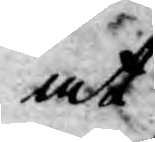at
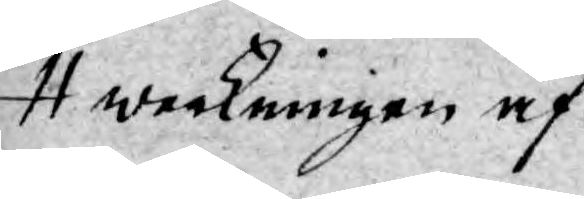weckningen af
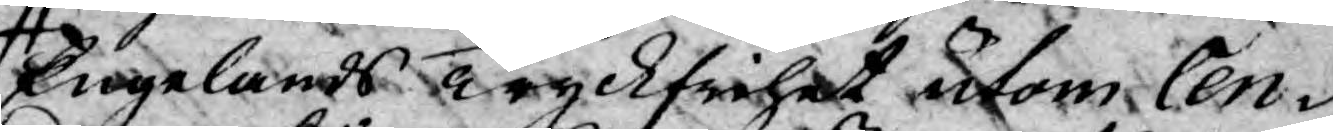Engelands Tryckfrihet utom Cen¬
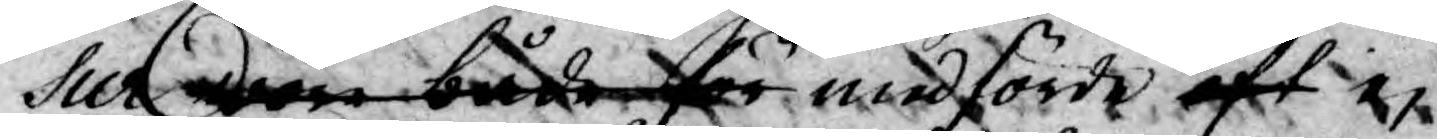sur war både för medförde eft ej
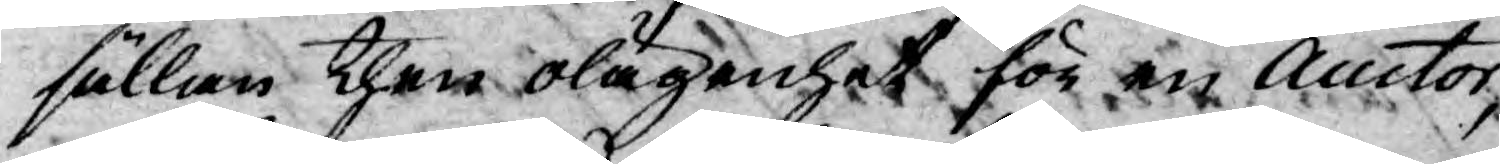sällan then olägenhet för en Auctor,
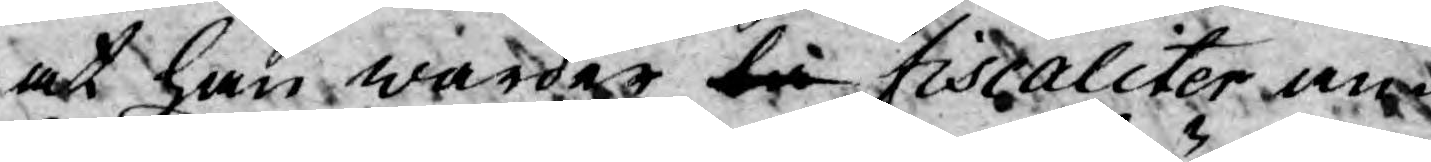at han warder bå fiscaliter an¬
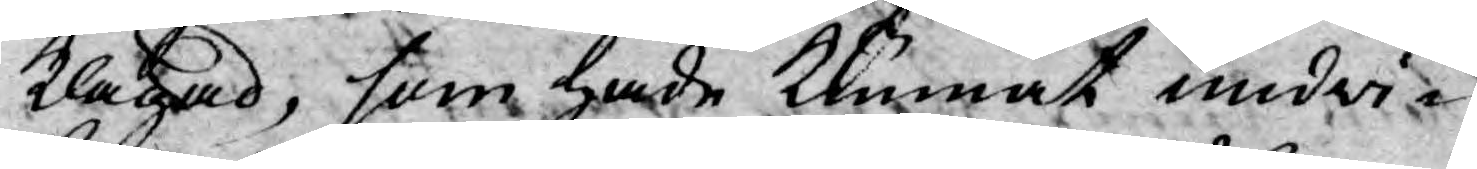klagad, som hade kunnat undwi¬
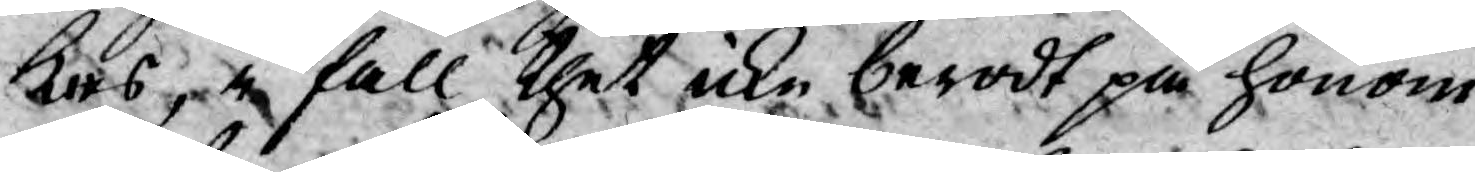kas, i fall thet icke berodt på honom
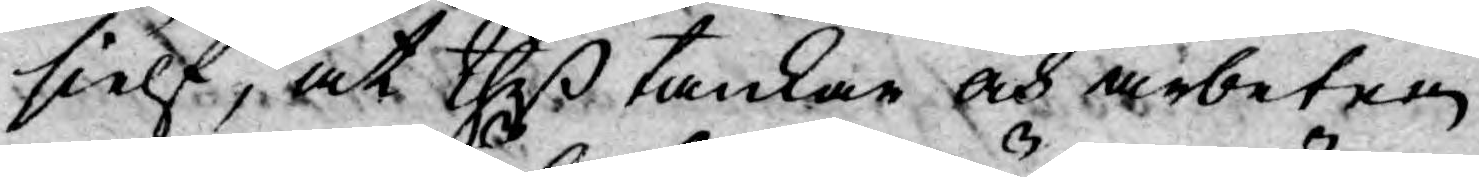sielf, at theß tankar och arbeten
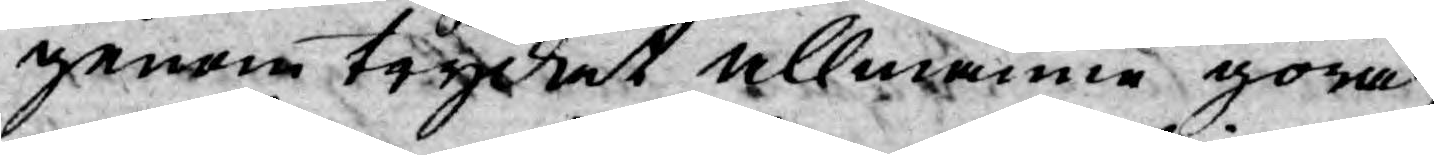genom trycket allmänne göra,
